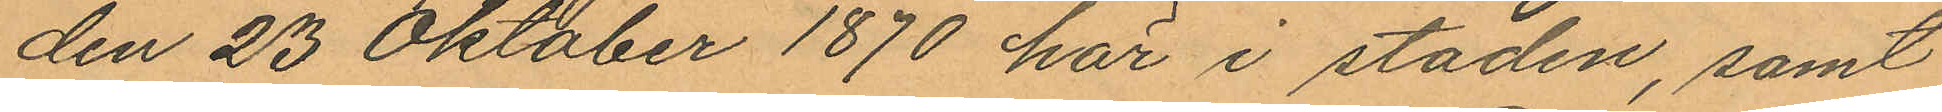den 23 Oktober 1870 här i staden, samt
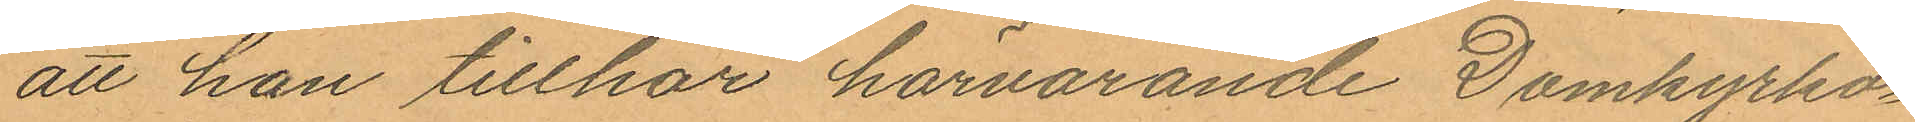att han tillhör härvarande Domkyrko¬
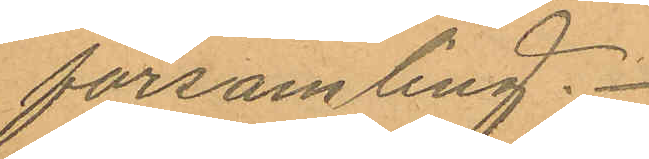församling.
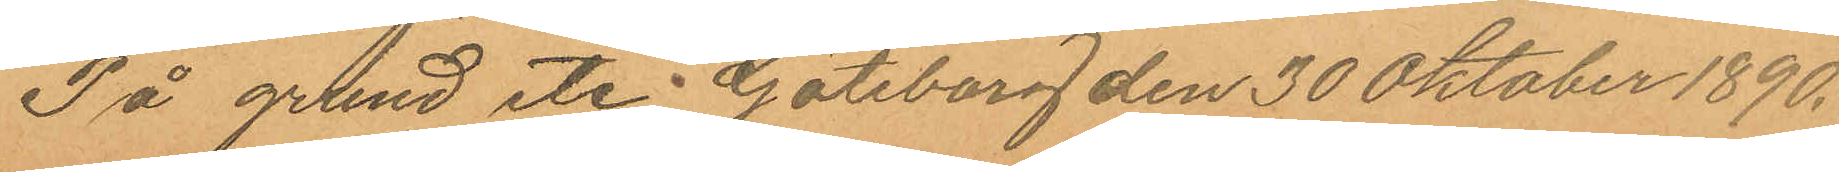På grund etc. Göteborg den 30 Oktober 1890.
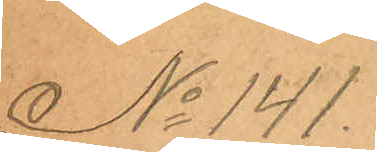No 141.
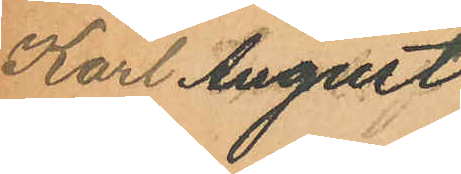Karl August
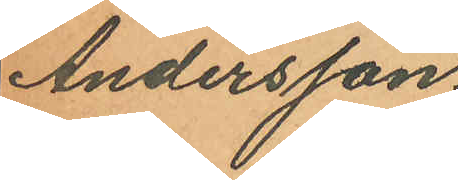Andersson
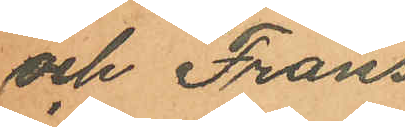och Frans
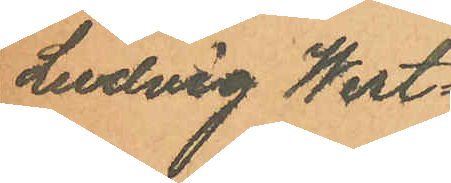Ludvig West¬
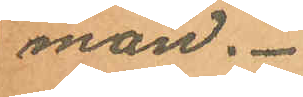man.
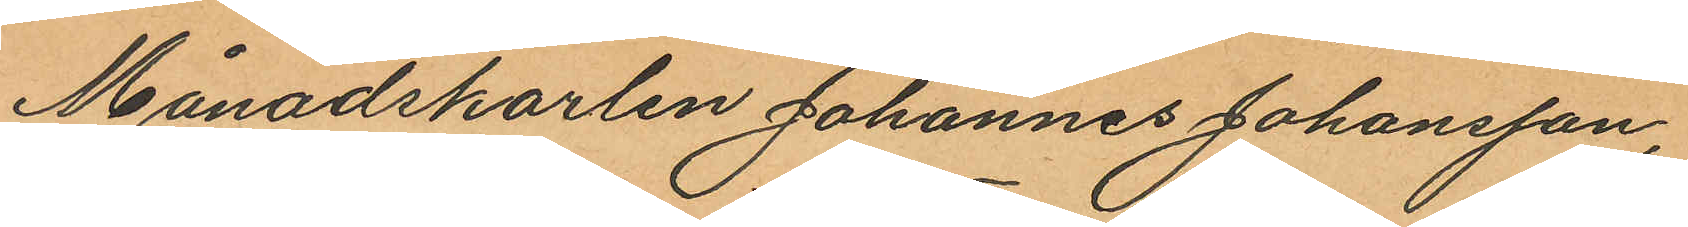Månadskarlen Johannes Johansson,
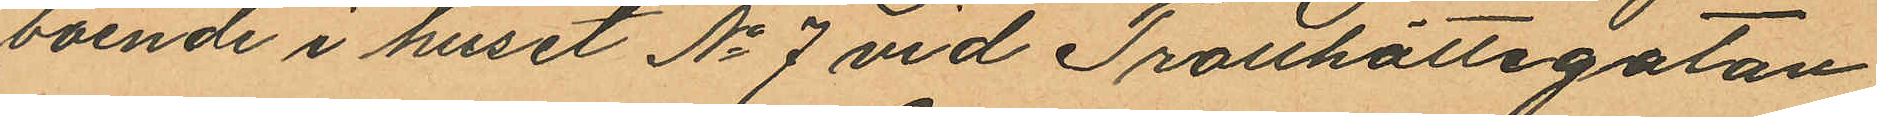boende i huset No 7 vid Trotthättegatan
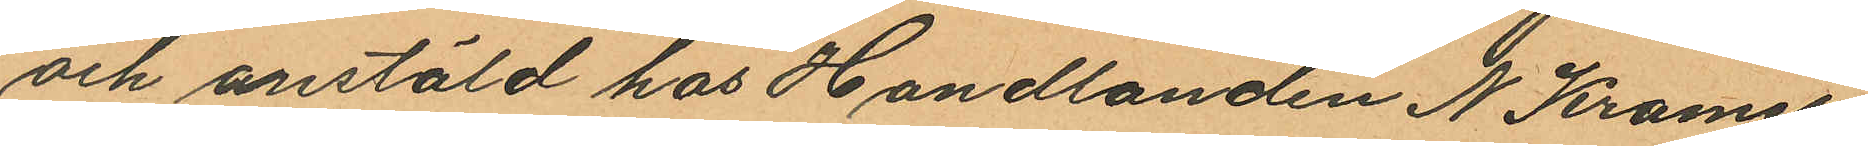och anstäld hos Handlanden N Kramer,
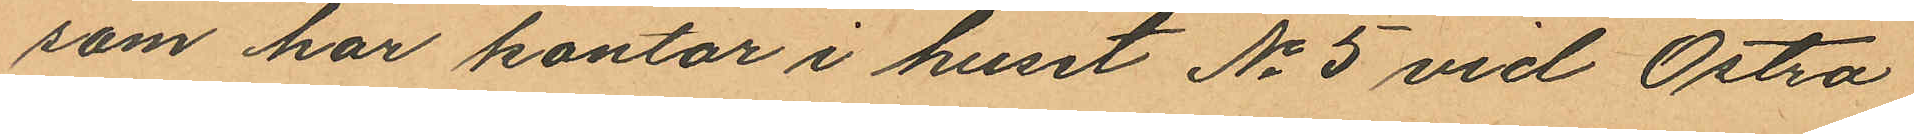som har kontor i huset No 5 vid Östra
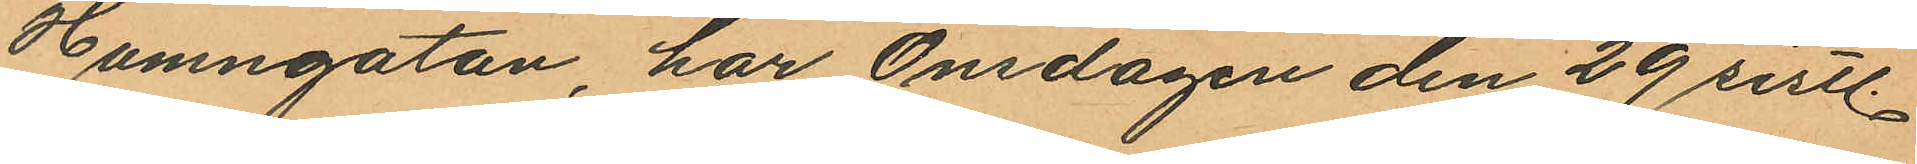Hamngatan, har Onsdagen den 29 sistl.
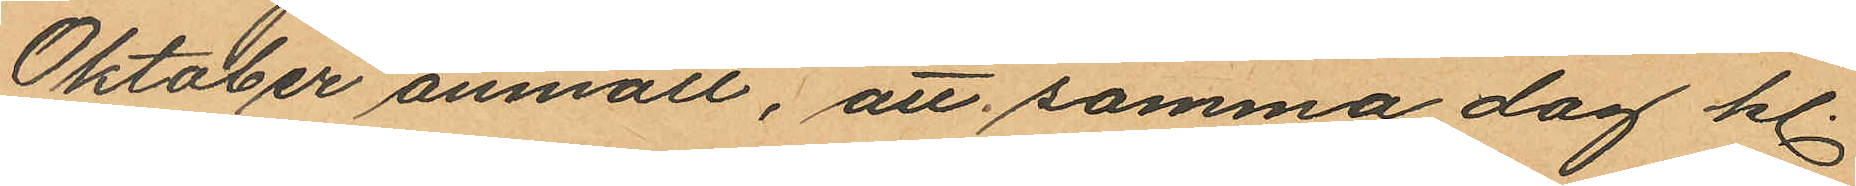Oktober anmält, att samma dag kl.
